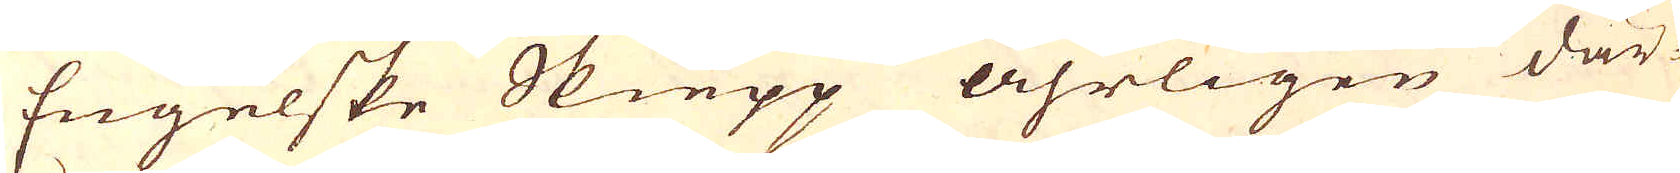Engelske Skiepp åhrligen där-
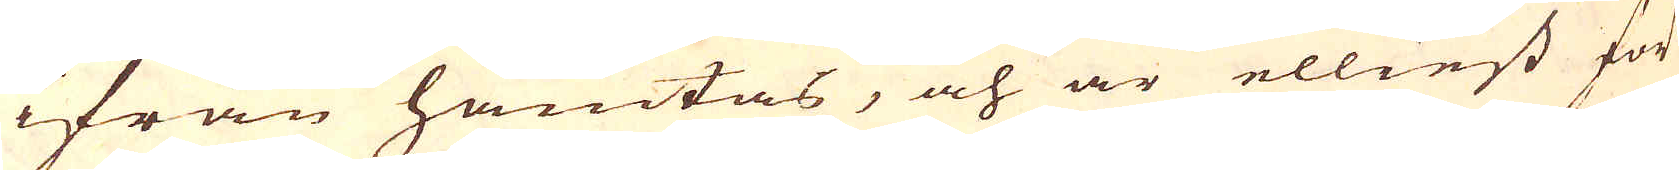ifrån hämtas, och är elliest för-
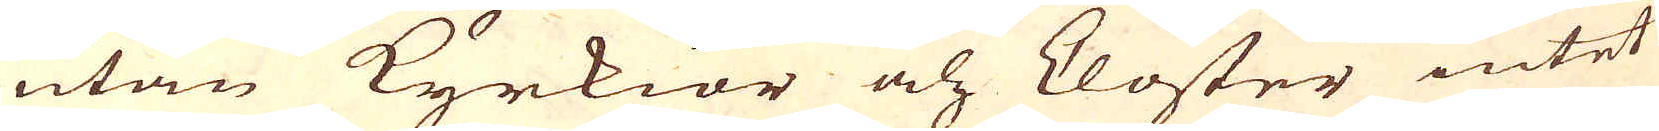utan Kyrkior och klöster intet
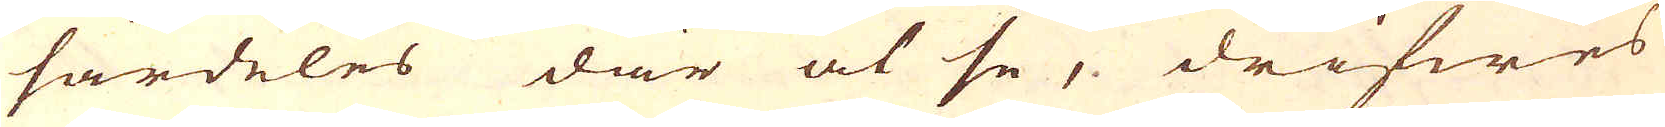särdeles där at se, drifwes
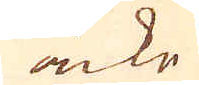icke
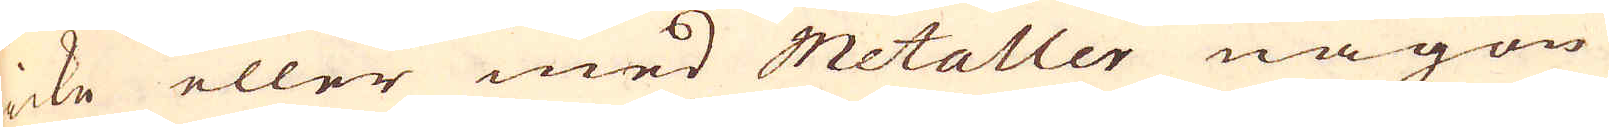icke eller med Metaller någon
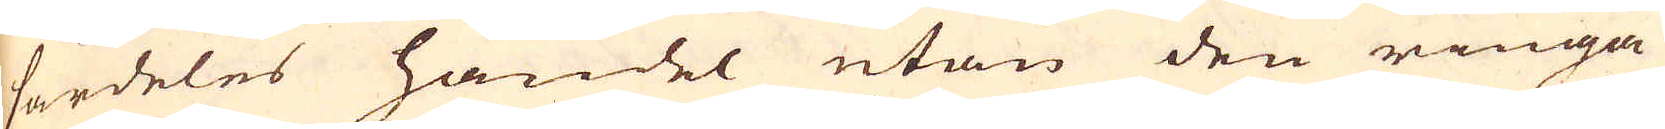särdeles handel utan den ringa
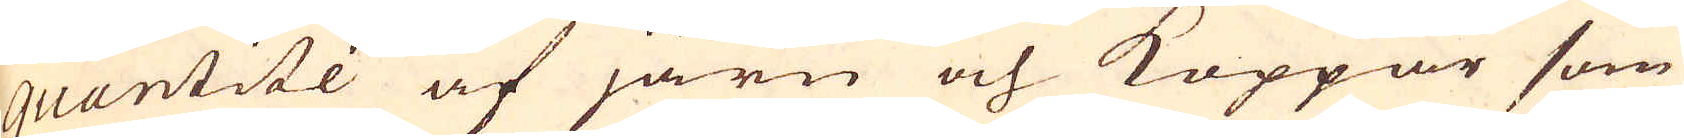quantité af järn och Koppar som
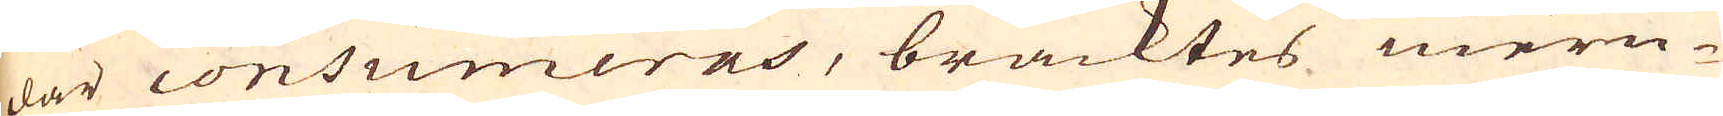där consumeras, bracktes mern-
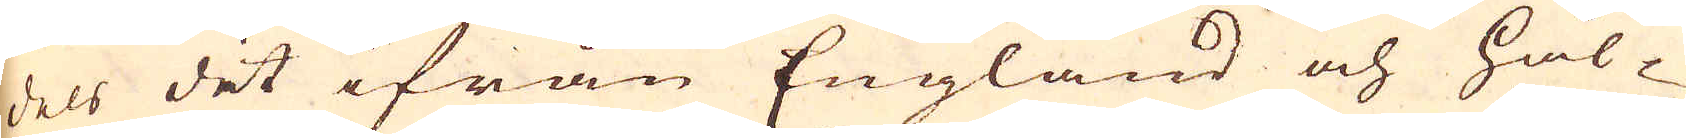dels det ifrån England och Hål-
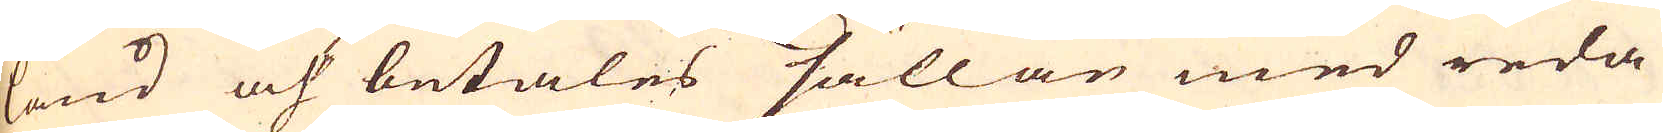land och betales sällan med reda
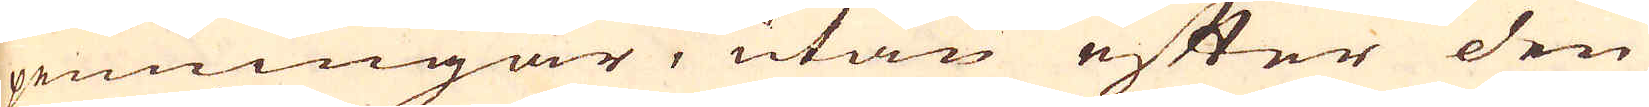penningar, utan efter den
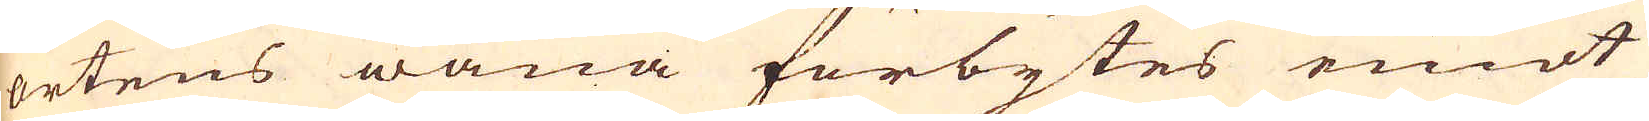ortens wana förbytes emot
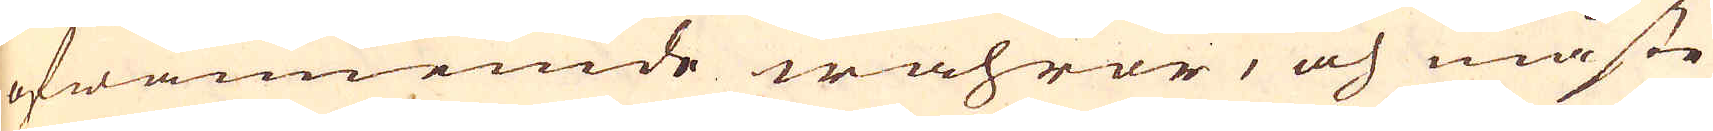ofwannemde wahror, och måste
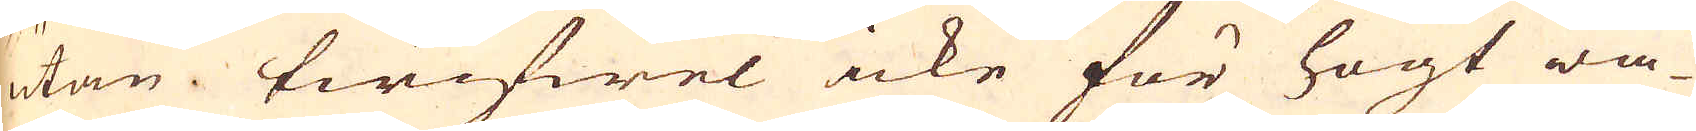utan twifwel icke för högt wa-
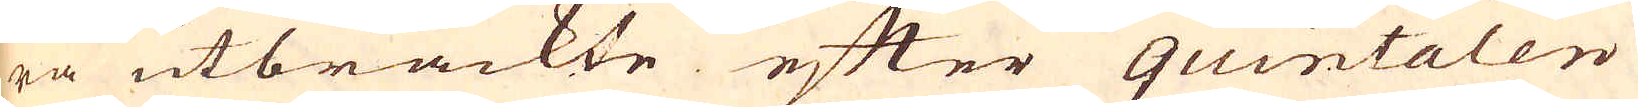ra utbrackte efter quintaler
